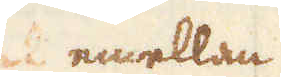emellan
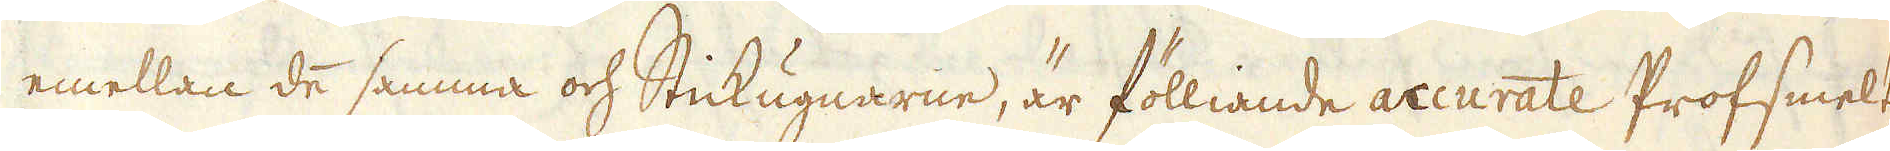emellan de samma och Stickugnarne, är fölliande accurate Profsmelt-
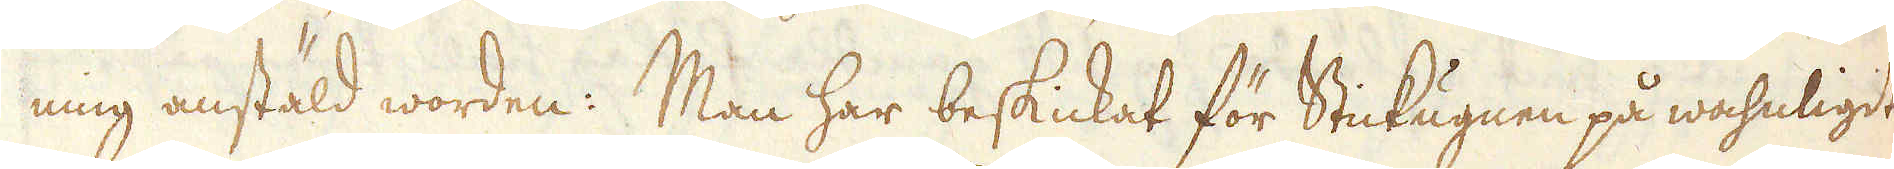ning anstäld worden: Man har beskickat för Stickugnen på wahnligit
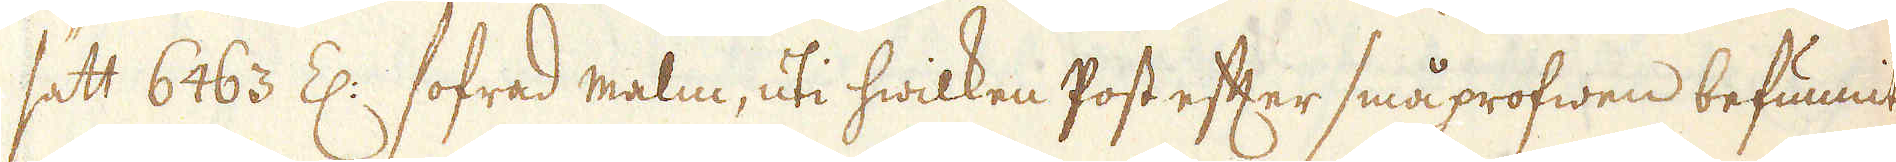sätt 6463 Z: sofrad malm, uti hwilken Post efter småprofwen befunnits
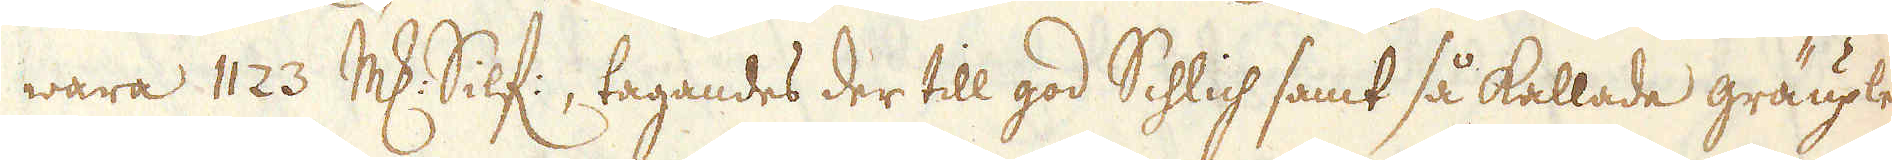wara 1123 marker Silf:, tagandes der till god Schlich samt så kallade gräuplen
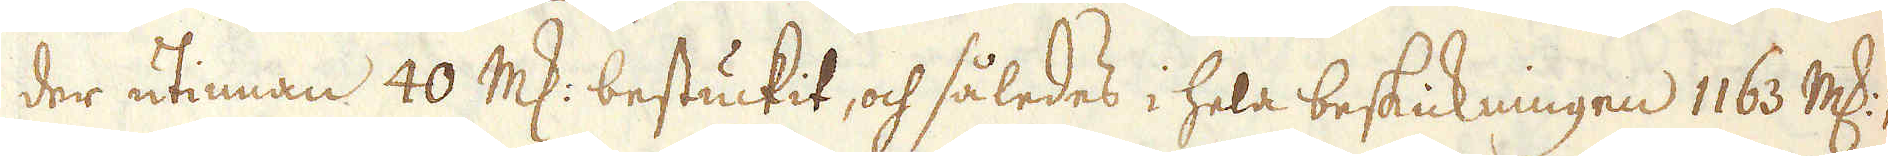der utinnan 40 marker bestuckit, och således i hela beskickningen 1163 marker.
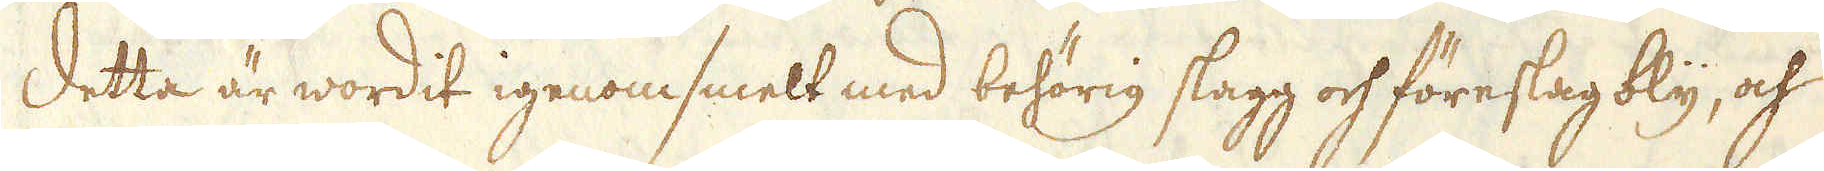Detta är wordit igenomsmelt med behörig slagg och föreslag bly, och
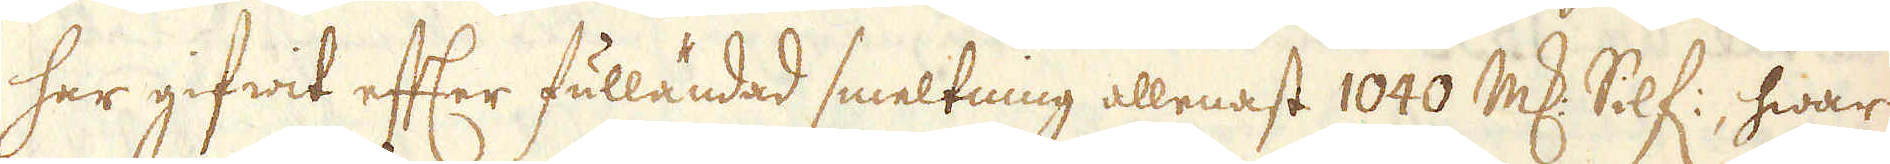har gifwit efter fulländad smeltning allenast 1040 marker Silf:, hwar
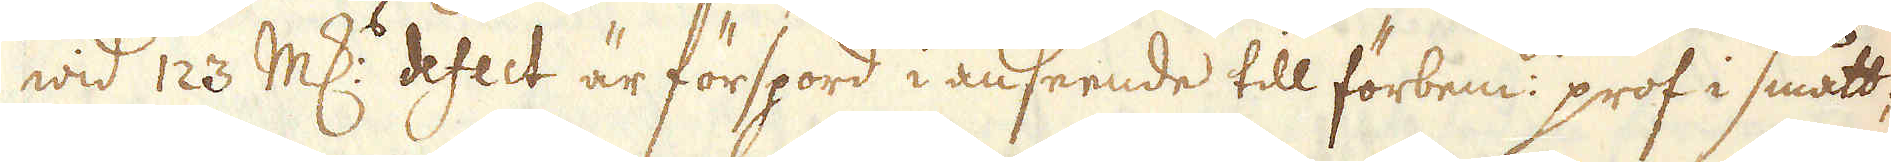wid 123 marker defect är förspord i anseende till förbem:de prof i smått;
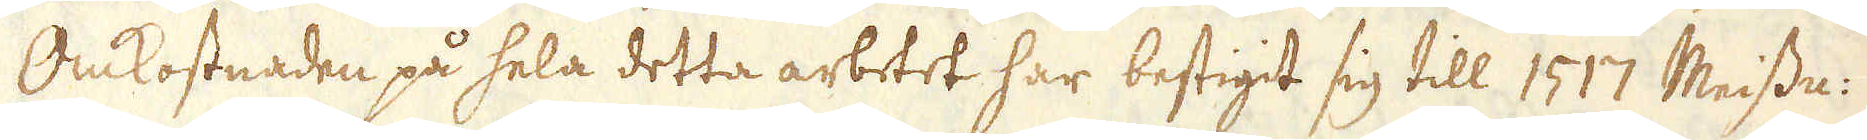Omkostnaden på hela detta arbetet har bestigit sig till 1517 Meissn:
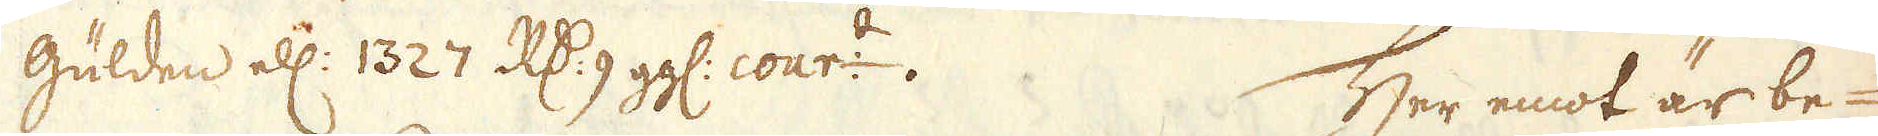Gulden ell: 1327 R:dr 9 gg: cour:t. Her emot är be-
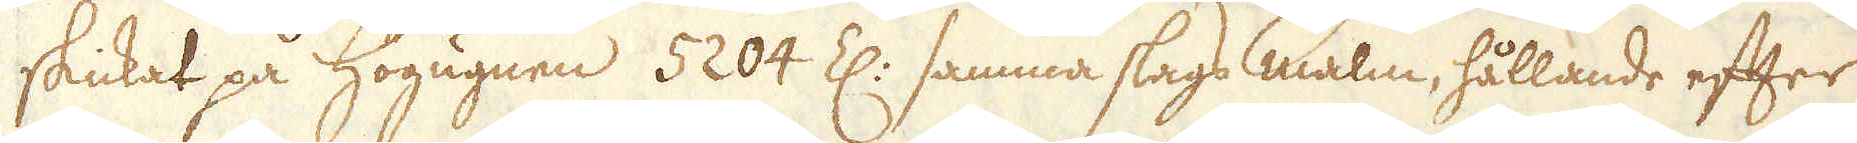skickat på Högugnen 5204 Z: samma slags malm, hållande efter
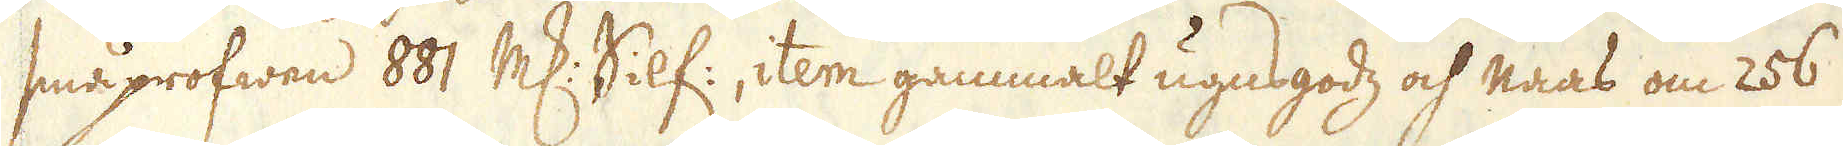småprofwen 881 marker Silf:, item gammalt ugnsgodz och naas om 256
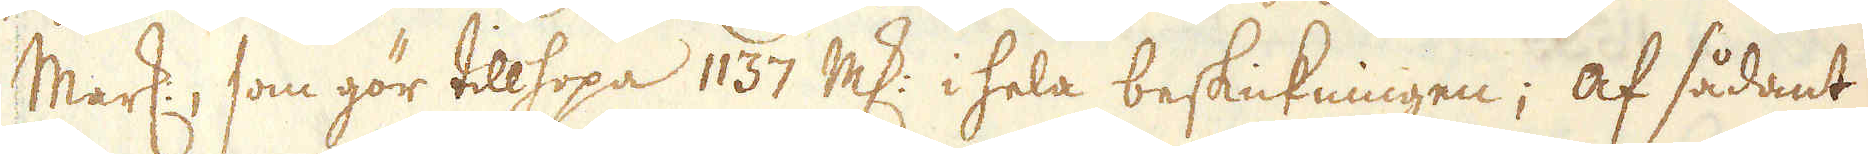Mark:, som gör tillhopa 1137 marker i hela beskickningen; af sådant
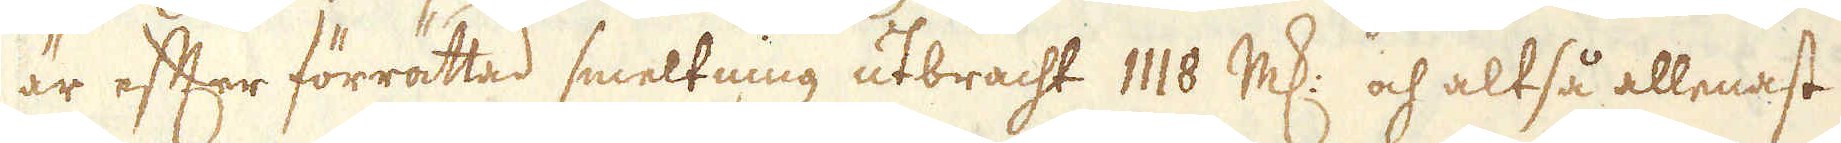är efter förrättad smeltning utbracht 1118 marker och altså allenast
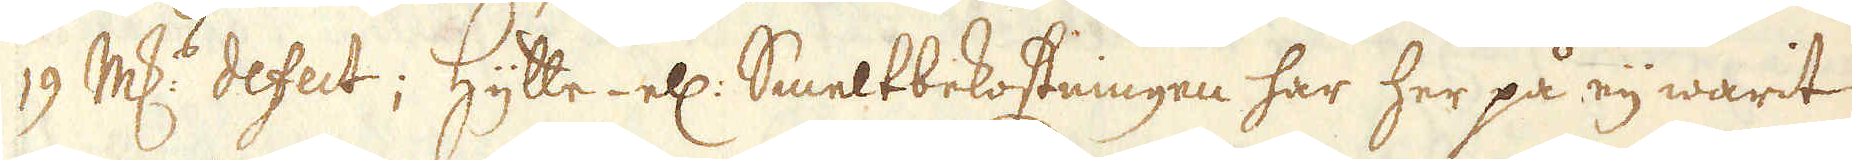19 marker defect; Hytte- ell: Smeltbekostningen har her på eij warit
